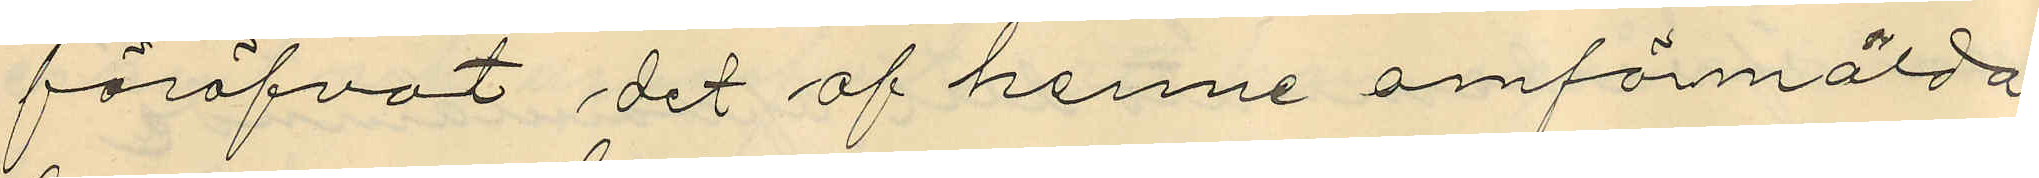föröfvat det af henne omförmälda
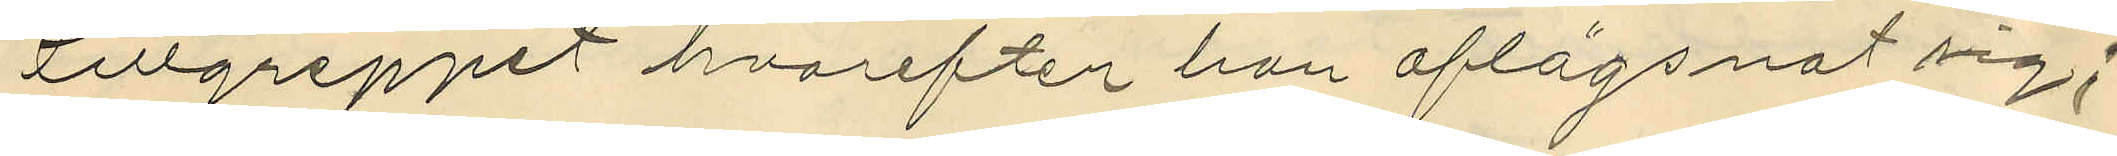tillgreppet hvarefter han aflägsnat sig;
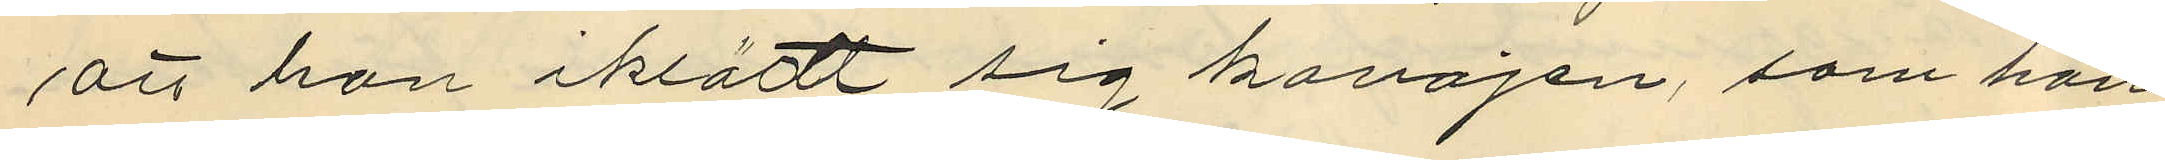att han iklättt sig kavajen, som han
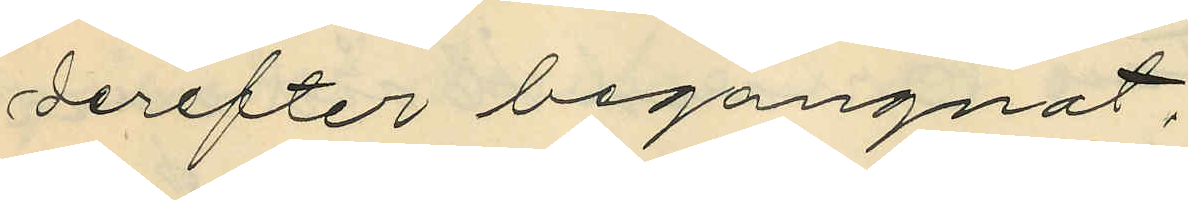derefter begangnat.
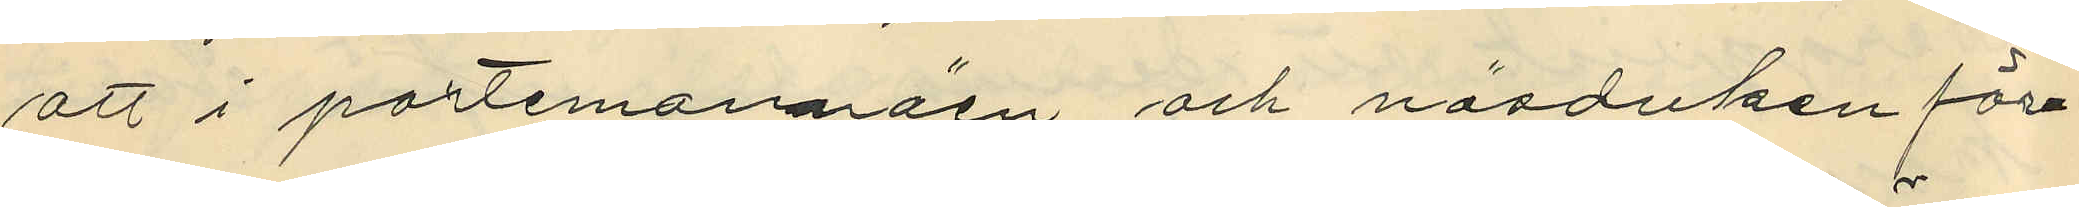att i portemonnäen och näsduken före¬
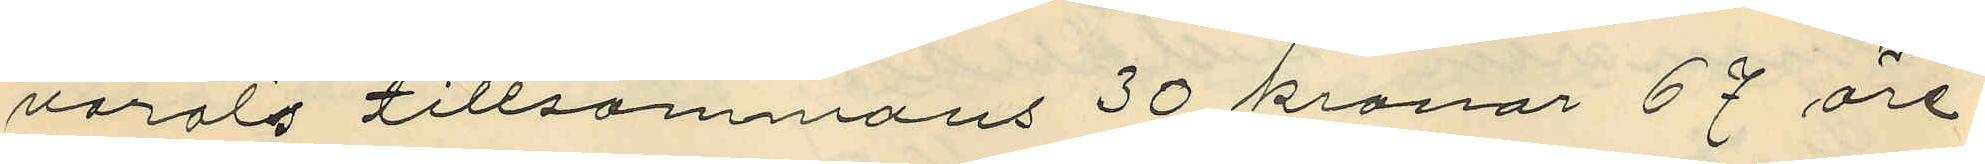varats tillsammans 30 kronor 67 öre.
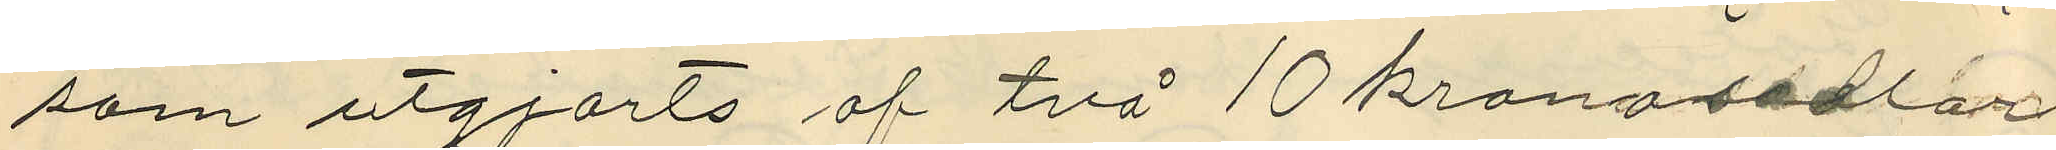som utgjorts af två 10 kronosedlar
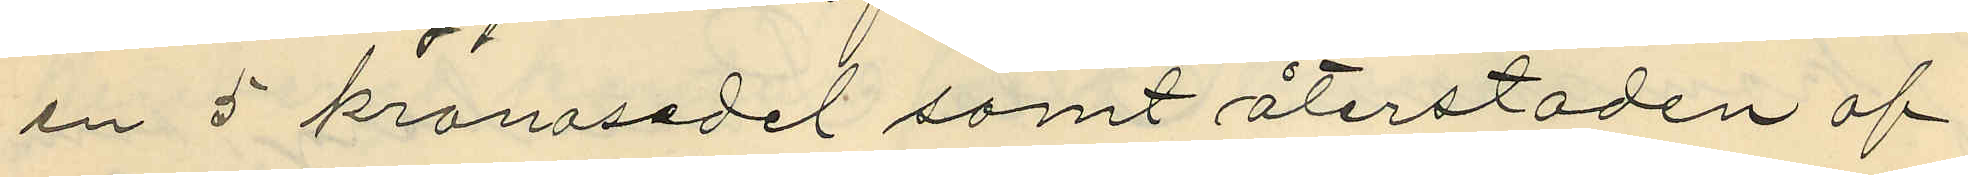en 5 kronosedel samt återstoden af
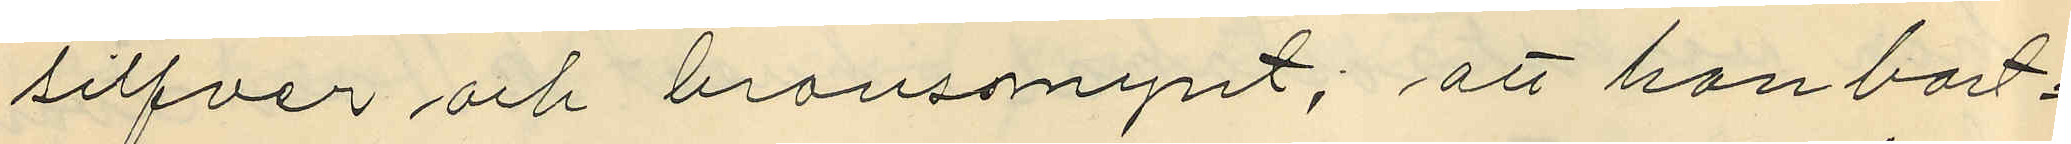silfver och bronsmynt; att han bort¬
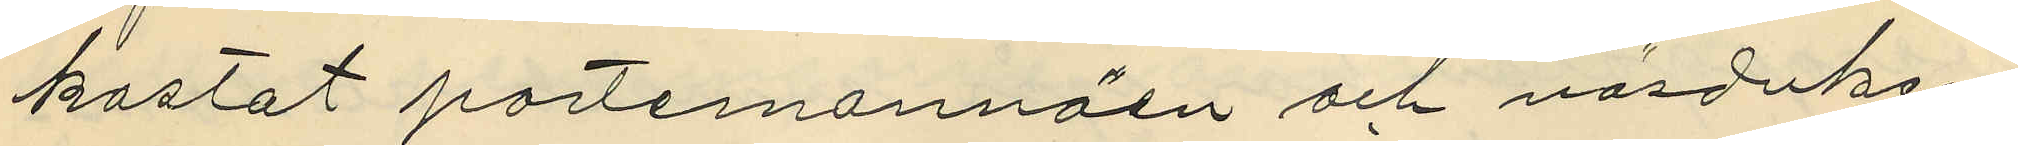kastat portemonnäen och näsduken
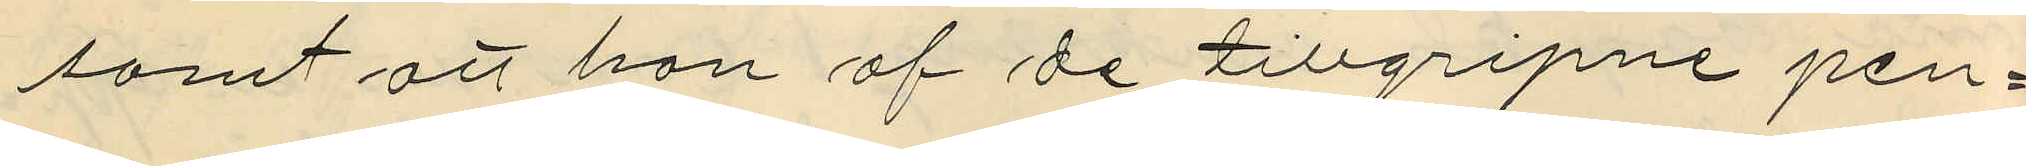samt att an af de tillgripne pen¬
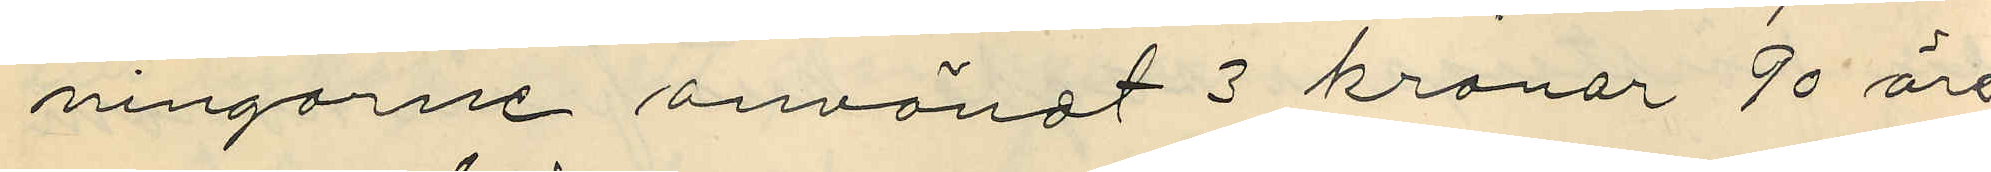ningarne användt 3 kronor 90 öre
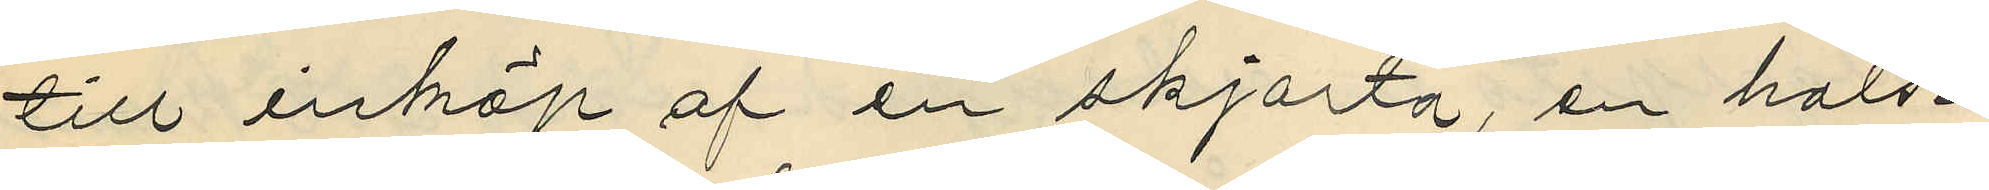till inköp af en skjorta, en hals¬
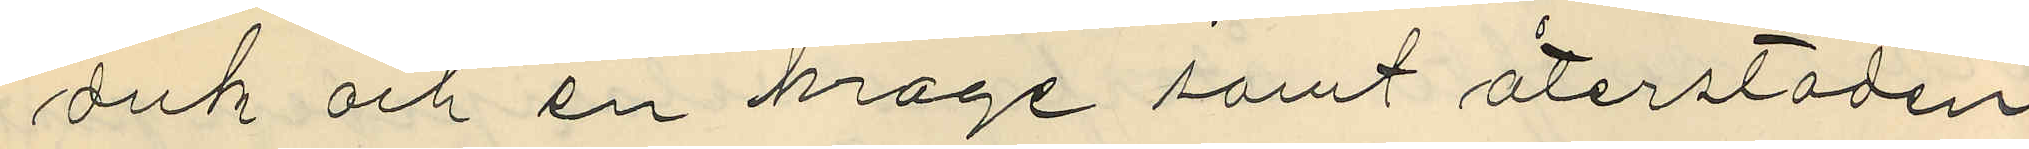duk och en krage samt återstoden
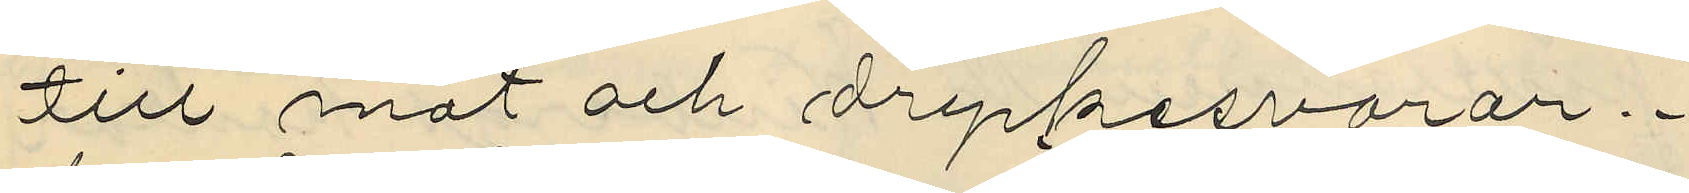till mat och dryckesvarar.
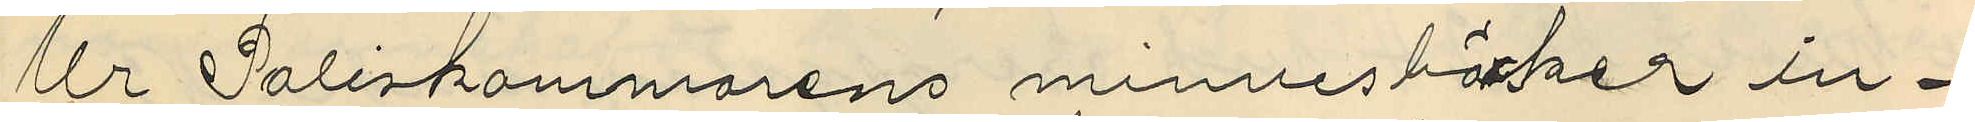Ur Poliskammarens minnesböcker in¬
